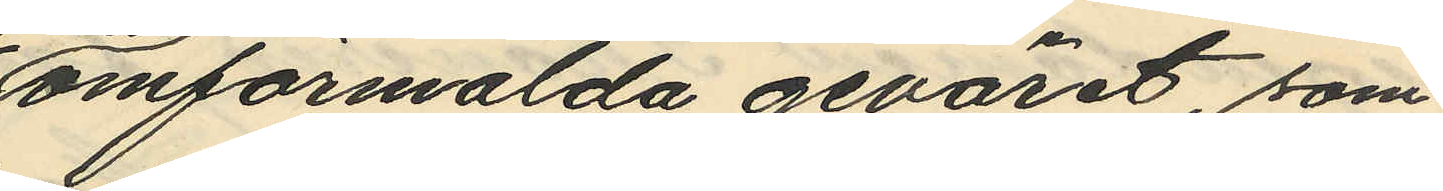omförmälda geväret, som
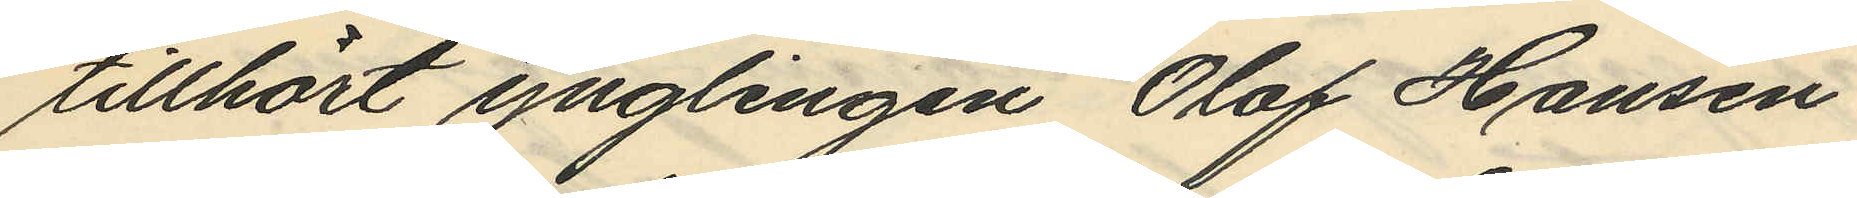tillhört ynglingen Olof Hansen
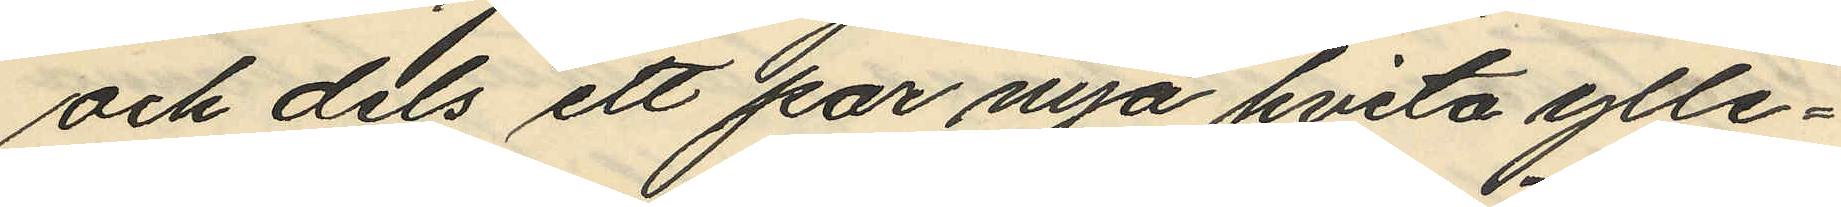och dels ett par nya hvita ylle¬
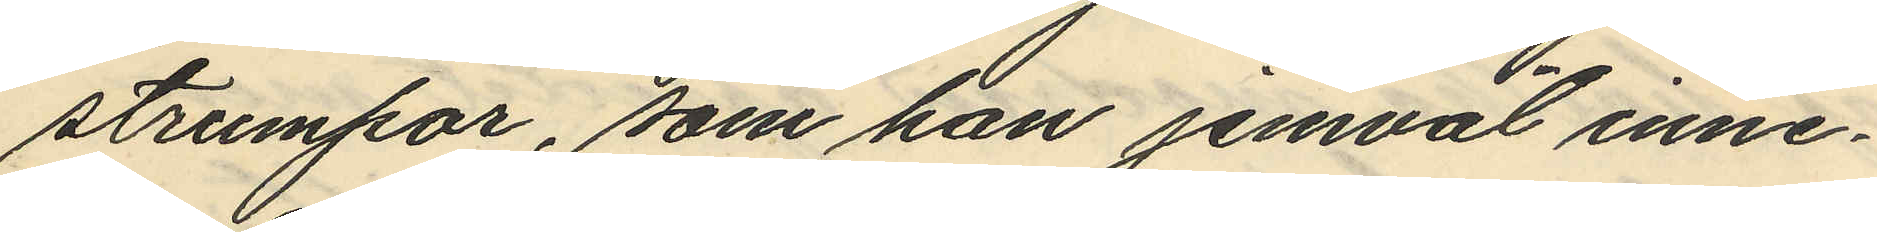strumpor, som han jemväl inne¬
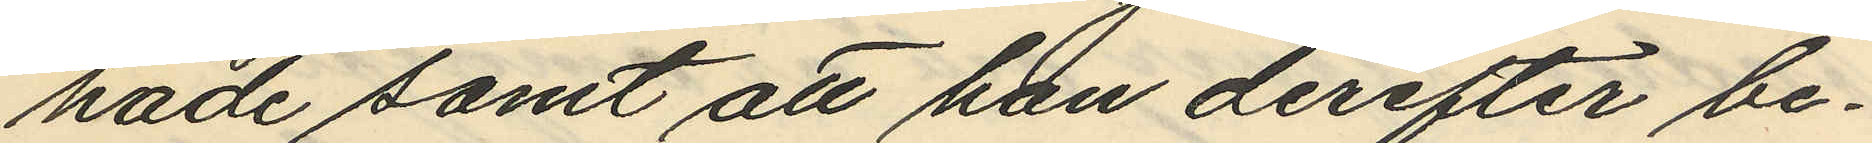hade samt att han derefter be¬
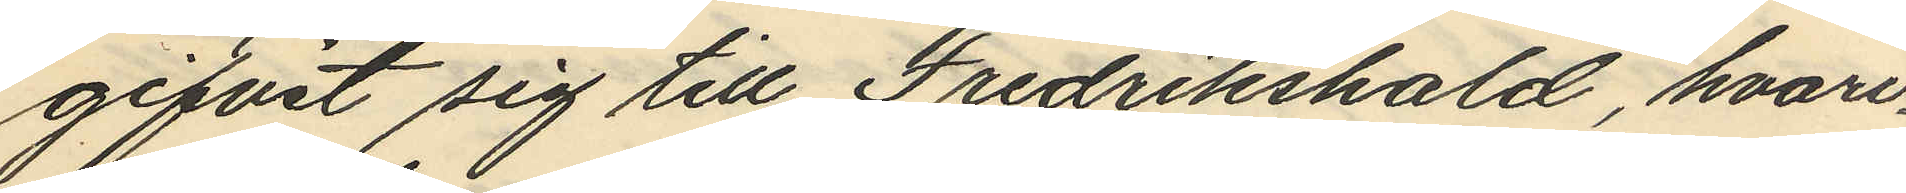gifvit sig till Fredrikshald, hvari¬
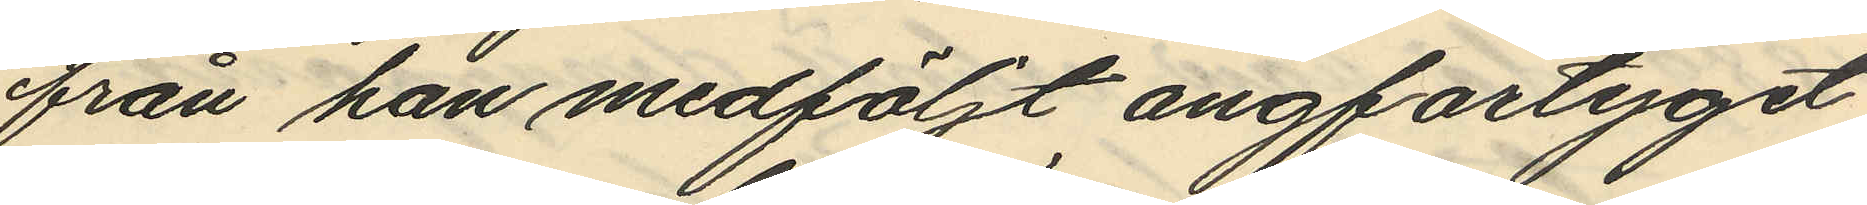från han medföljt angfartyget
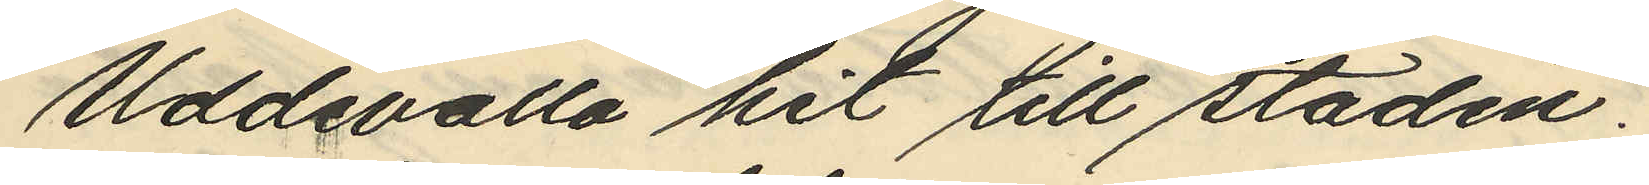Uddevalla hit till staden.
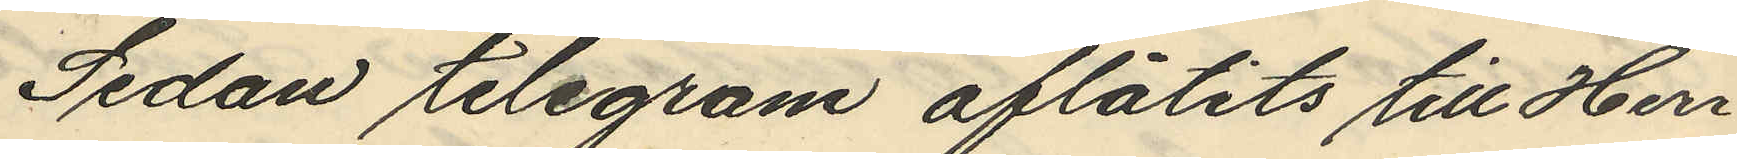Sedan telegram aflåtits till Herr
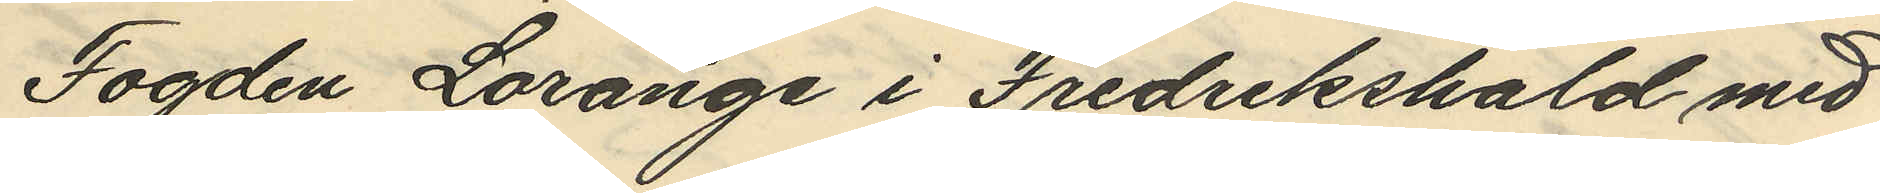Fogden Lorange i Fredrikshald med
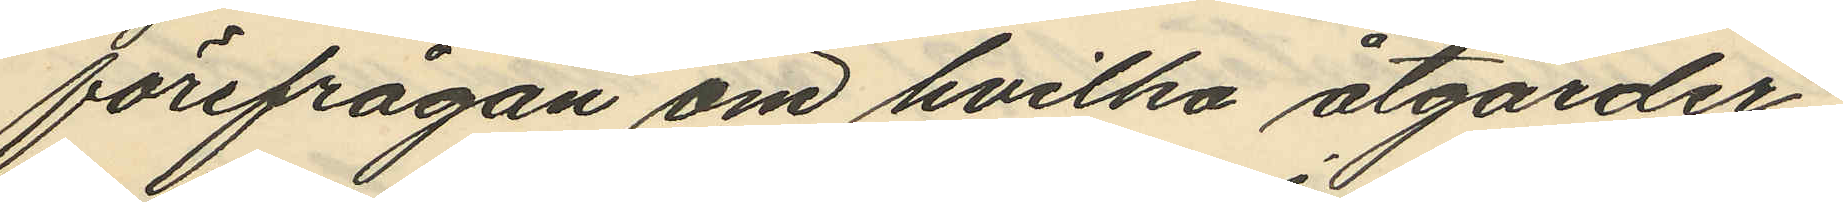förefrågan om hvilka åtgärder,
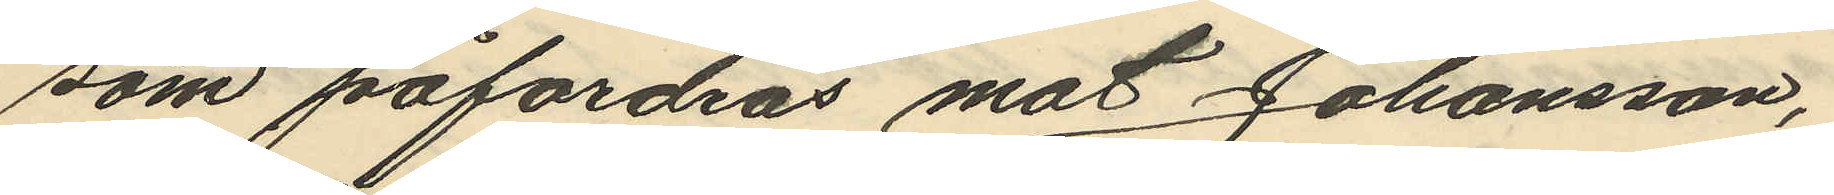som påfordras mot Johansson,
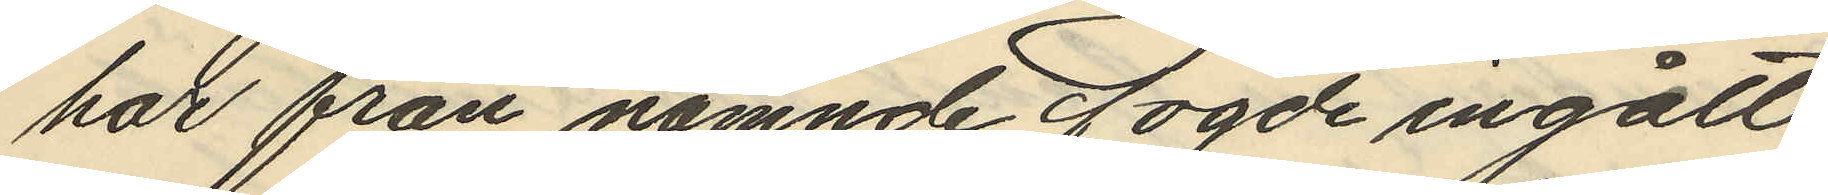har från nämnde Fogde ingått
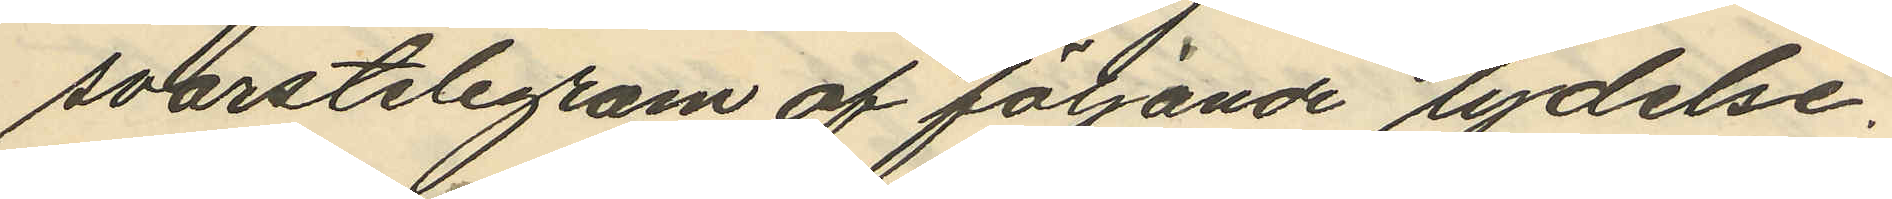svarstelegram af följande lydelse.
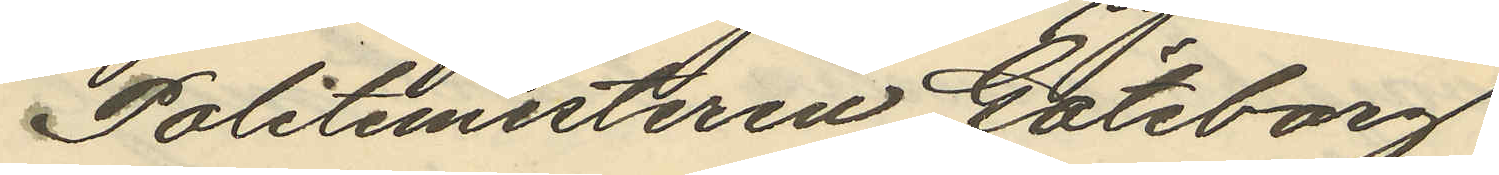Politimesteren Göteborg
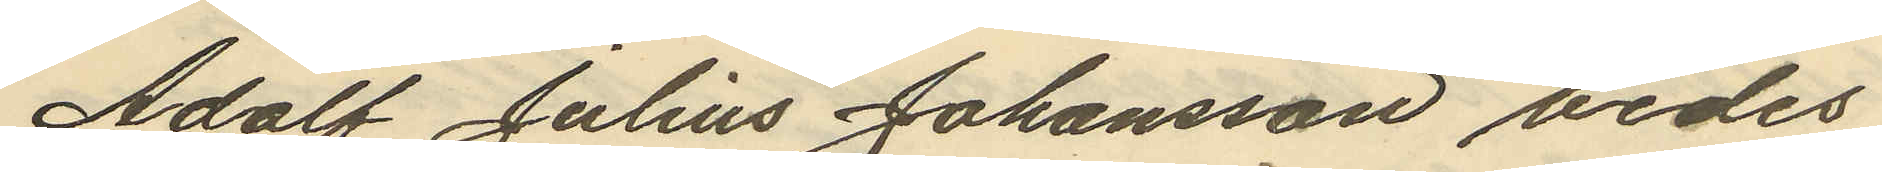Adolf Julius Johansson bedes
